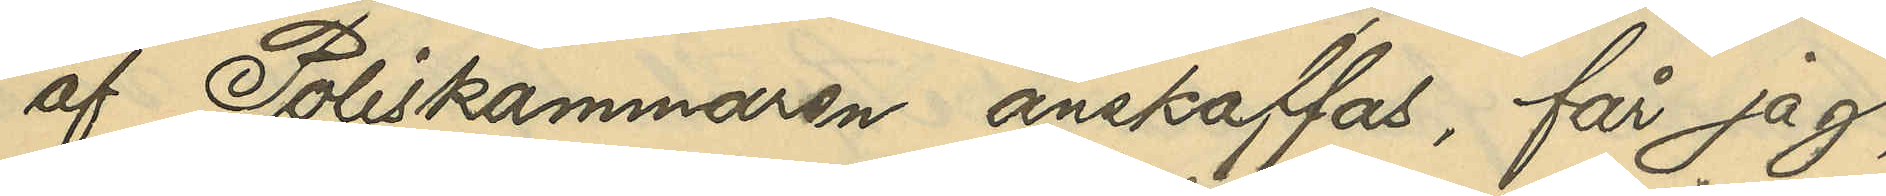af Poliskammaren anskaffas, får jag,
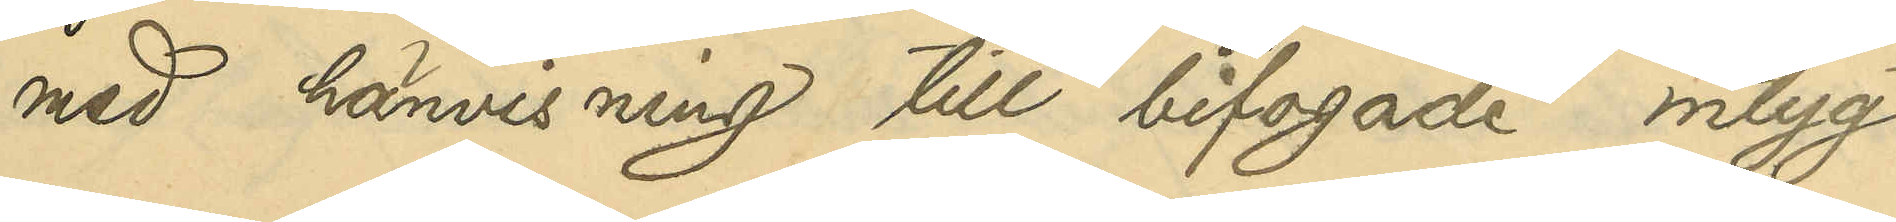med hänvisning till bifogade intyg,
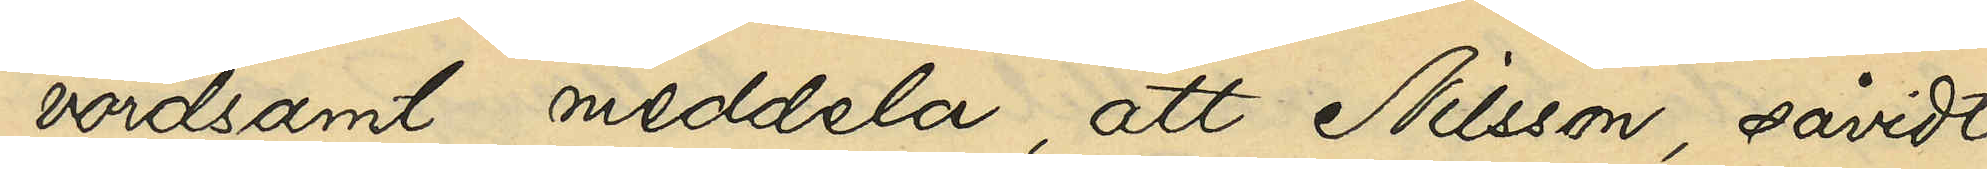vördsamt meddela, att Nilsson, såvidt
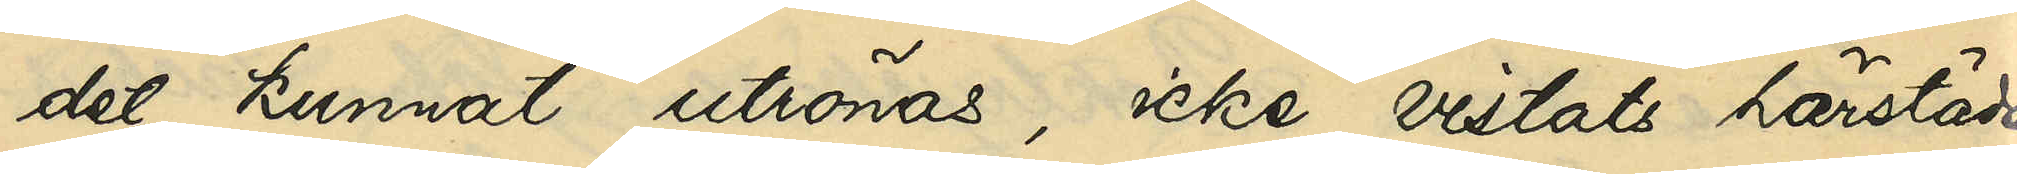det kunnat utrönas, icke vistats härstädes
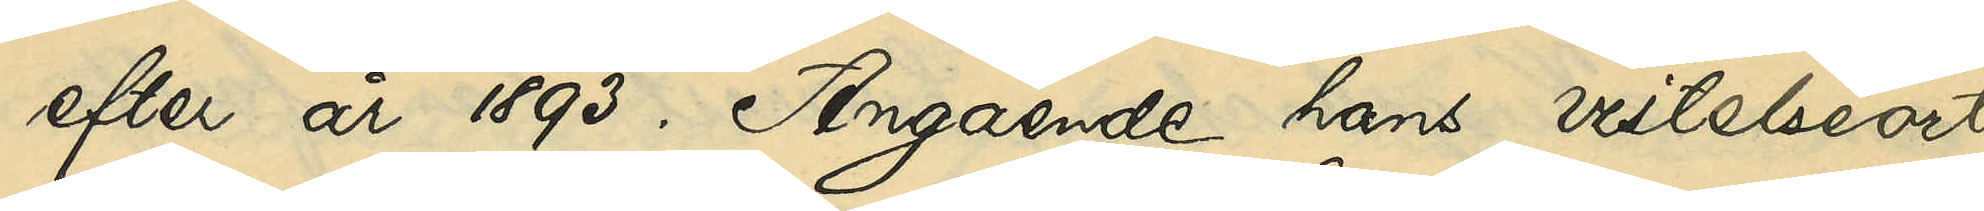efter år 1893. Angående hans vistelseort
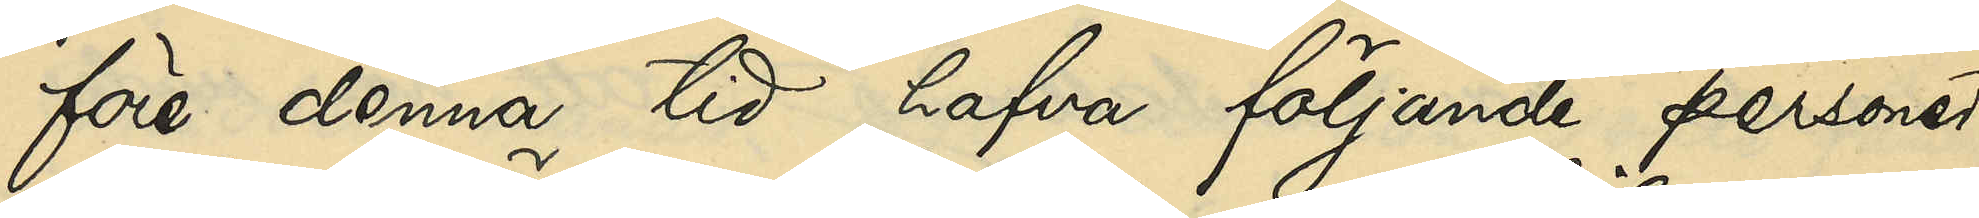före denna tid hafva följande personer
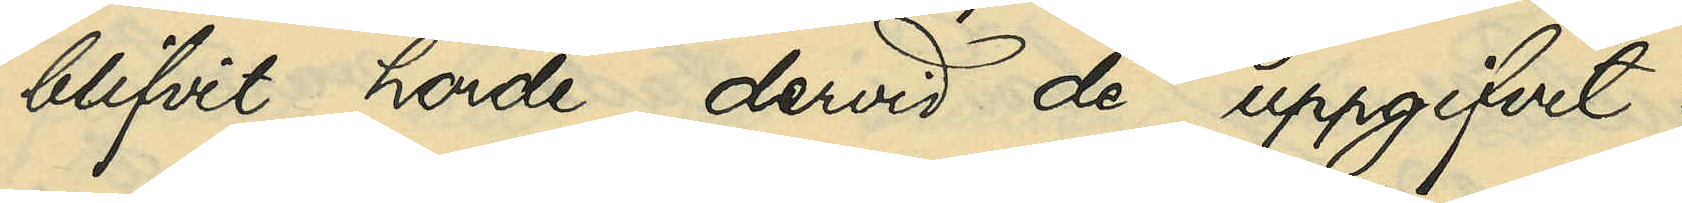blifvit hörde dervid de uppgifvit:
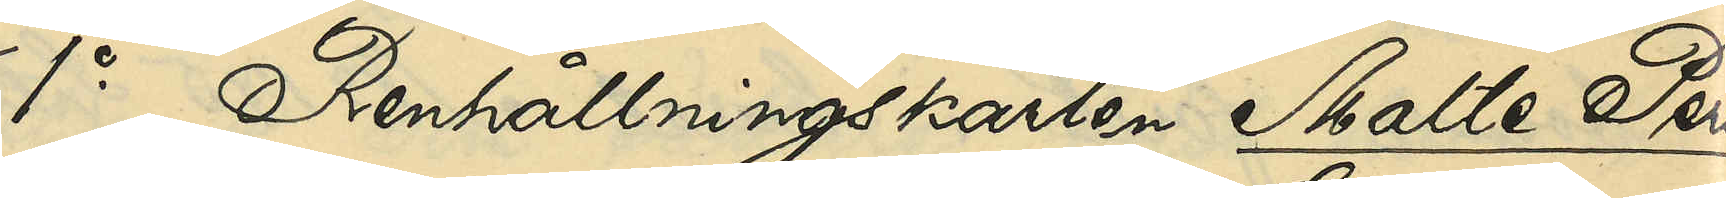1o Renhållningskarlen Malte Pers¬
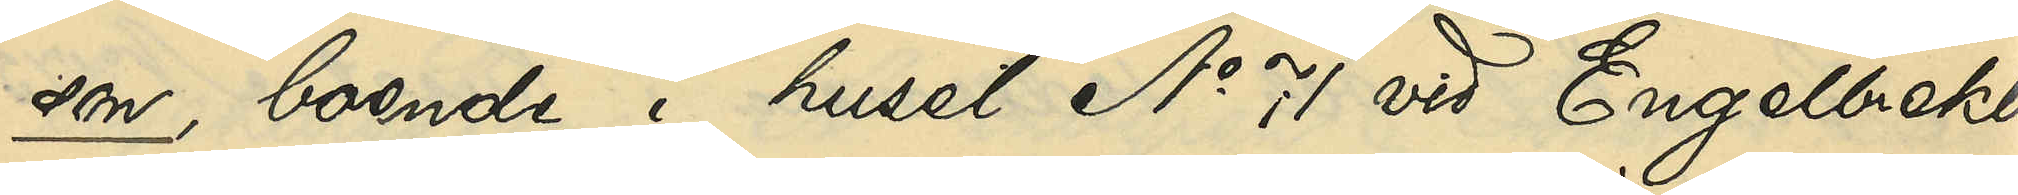son, boende i huset No 71 vid Engelbrekts¬
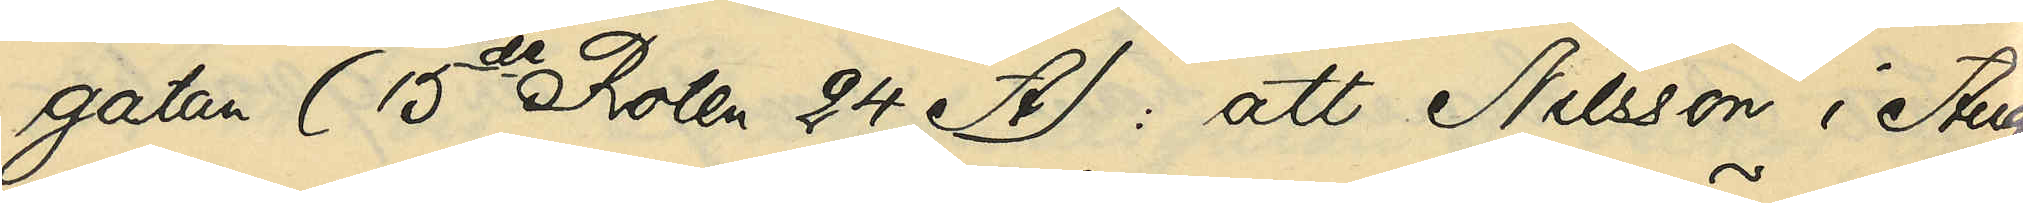gatan (15te Roten 24 A): att Nilsson i Augus¬
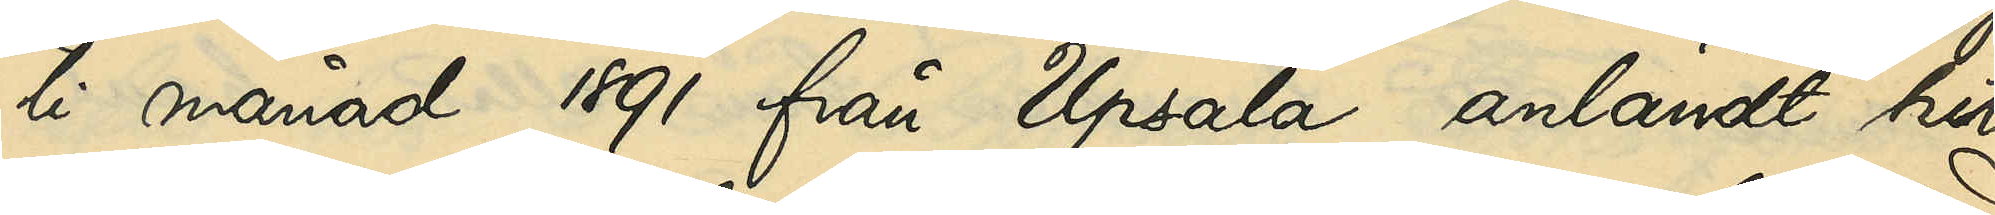ti månad 1891 från Upsala anländt hit
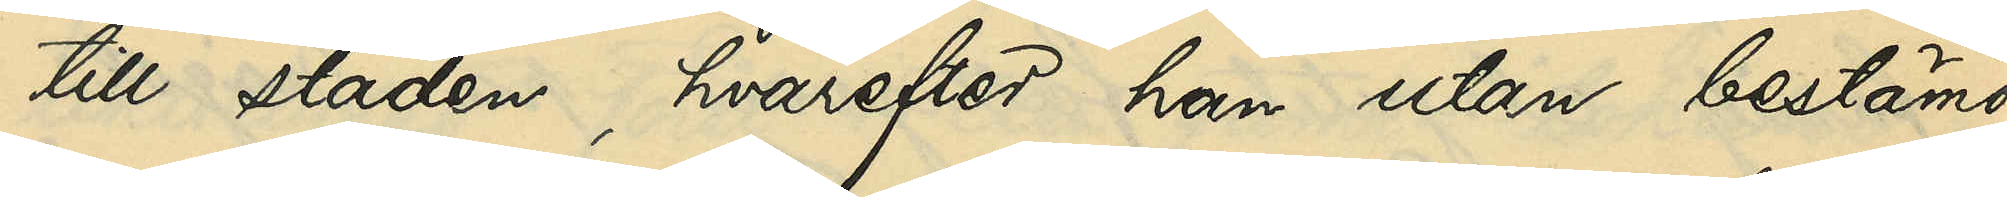till staden, hvarest han utan bestämd
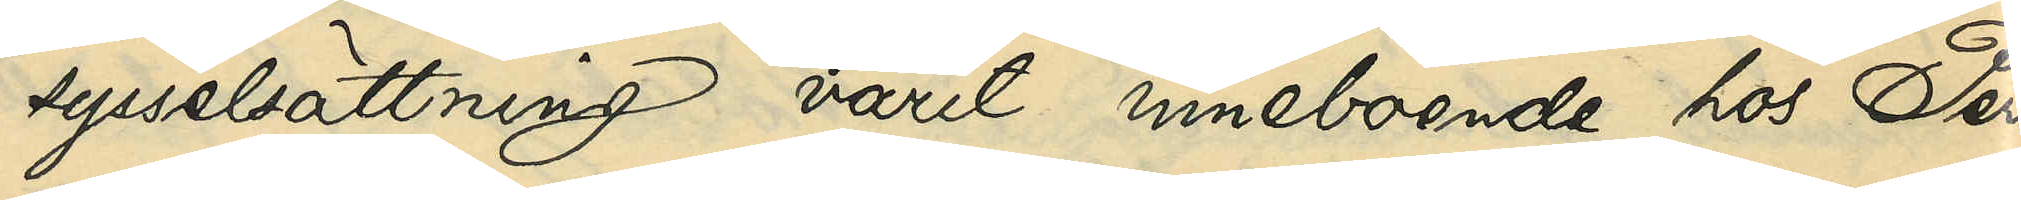sysselsättning varit inneboende hos Pers¬
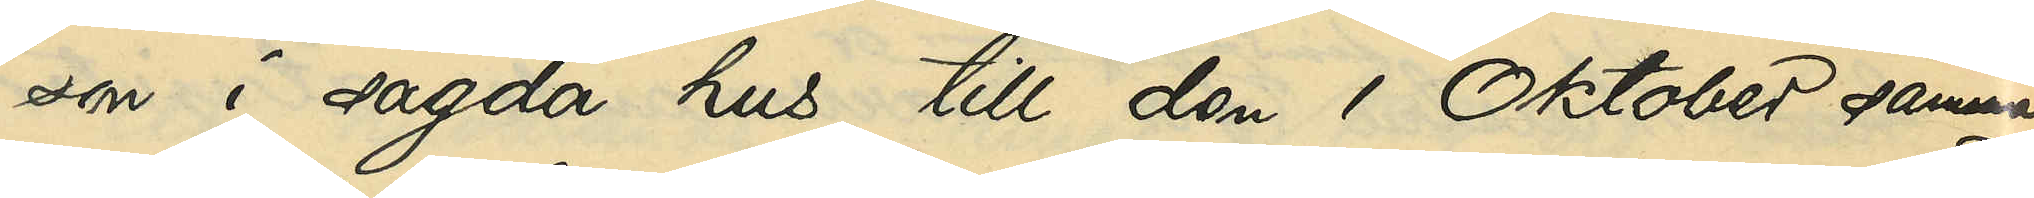son i sagda hus till den 1 Oktober samma
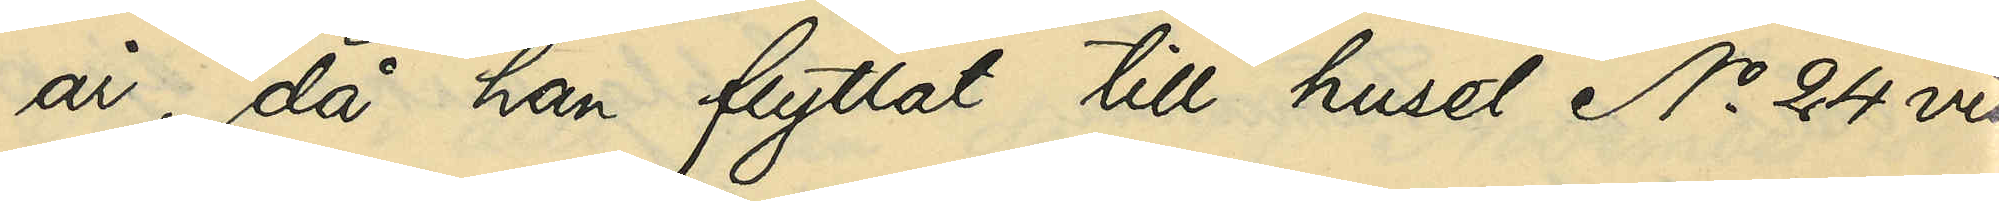år, då han flyttat till huset No 24 vid
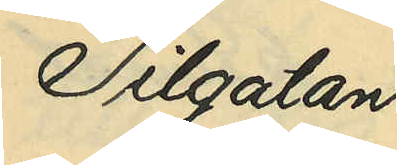Pilgatan;
